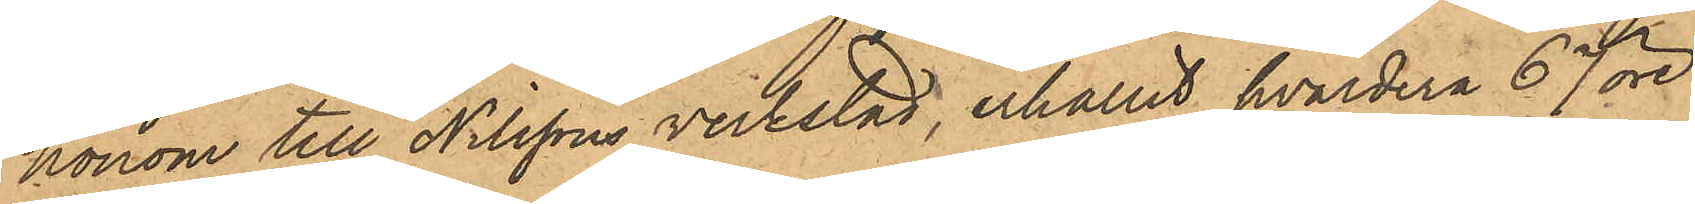honom till Nilssons verkstad, erhållit hvardera 67 öre.
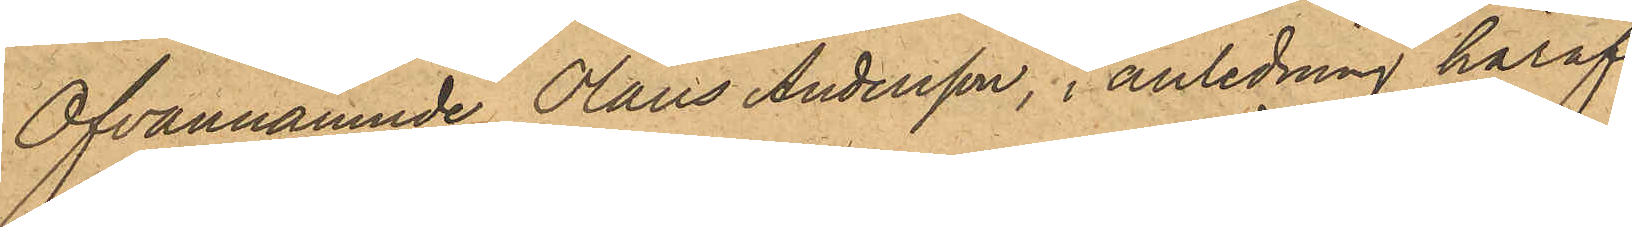Ofvannämnde Olaus Andersson, i anledning häraf
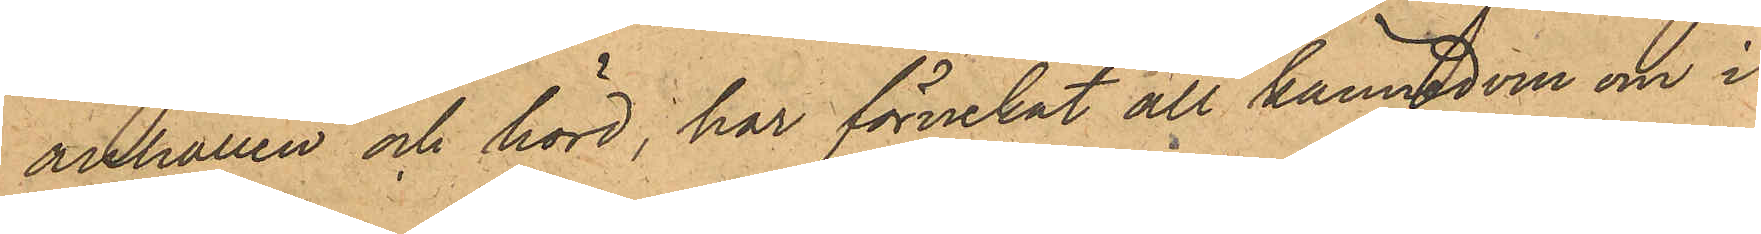anhållen och hörd; har förnekat all kännedom om i
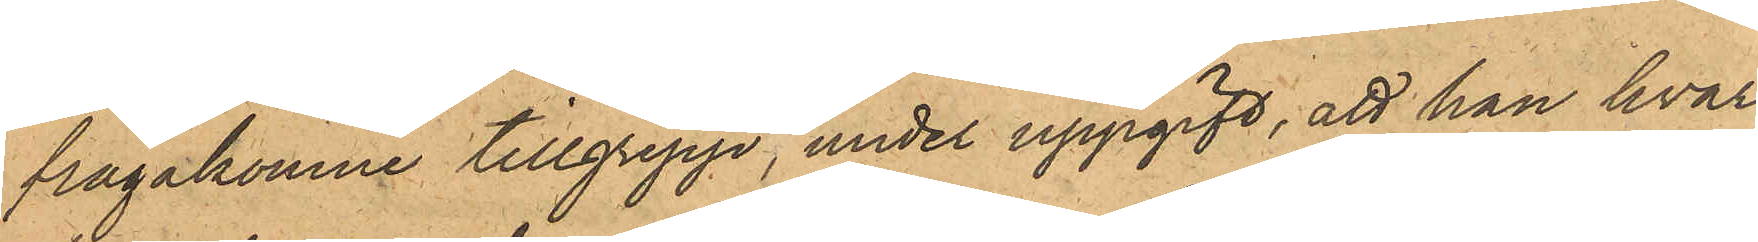frågakomne tillgrepp, under uppgift, att han hvar¬
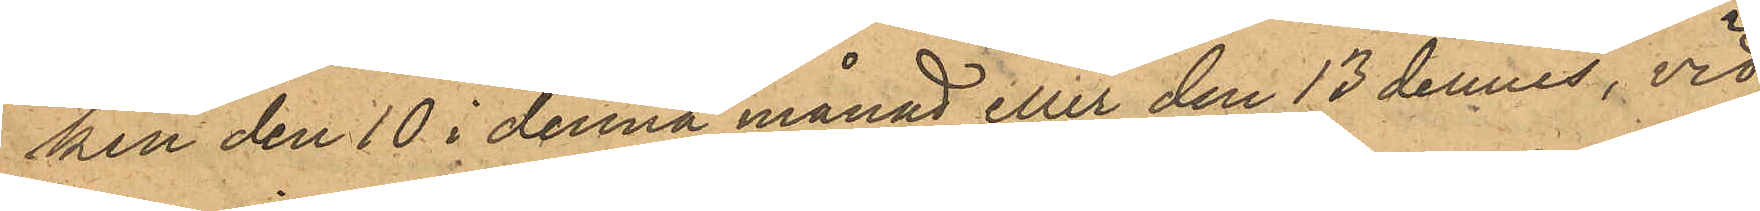ken den 10 i denna månad eller den 13 dennes, vid
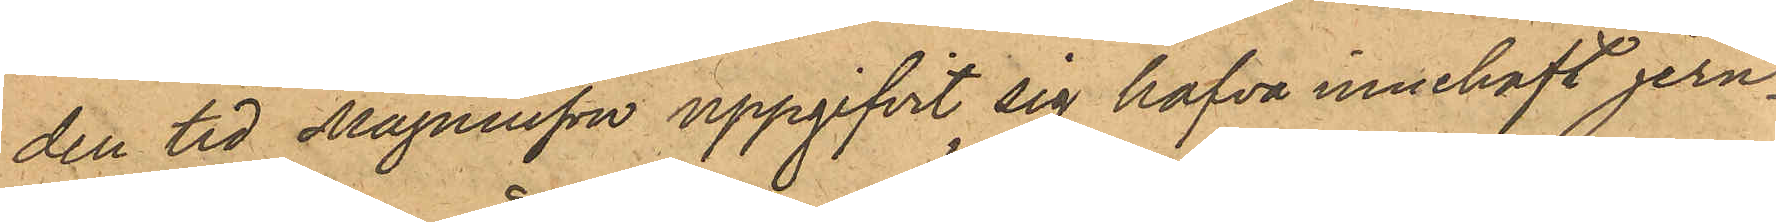den tid Magnusson uppgifvit sig hafva innehaft jern¬
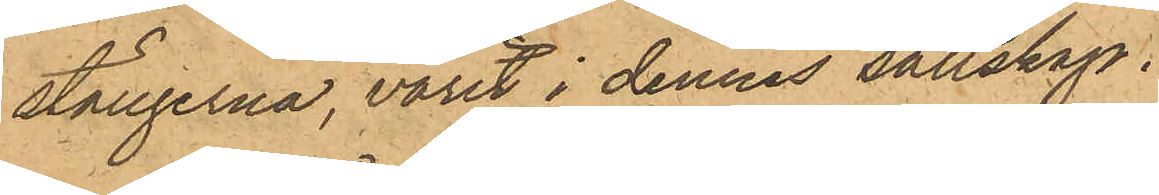stängerna, varit i dennes sällskap.
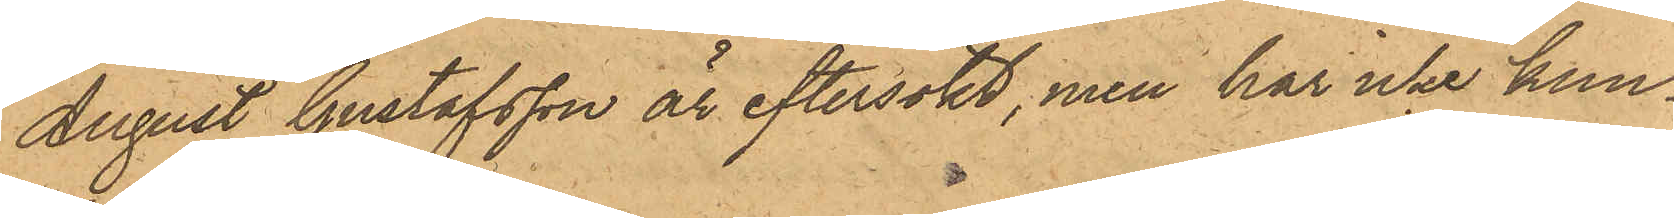August Gustafsson är eftersökt, men har icke kun¬
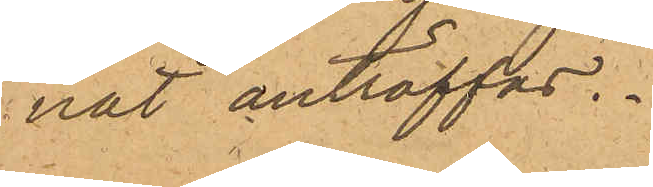nat anträffas.
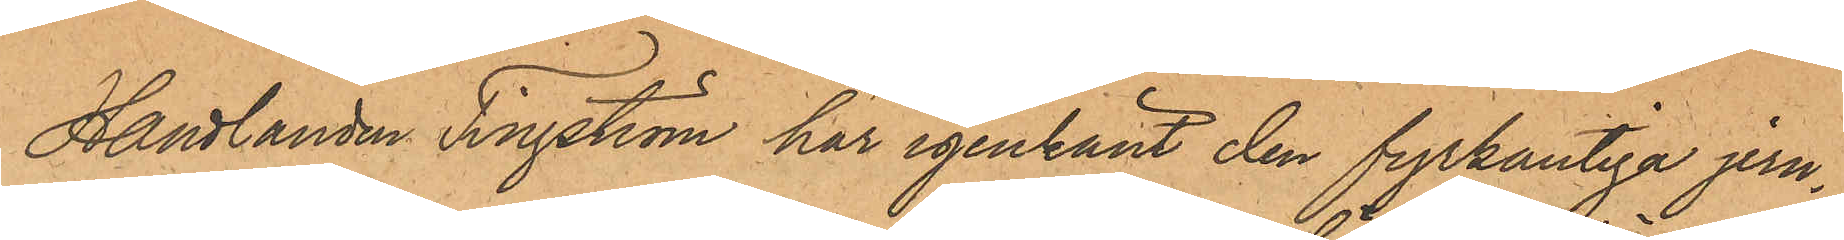Handlanden Tingström har igenkänt den fyrkantiga jern¬
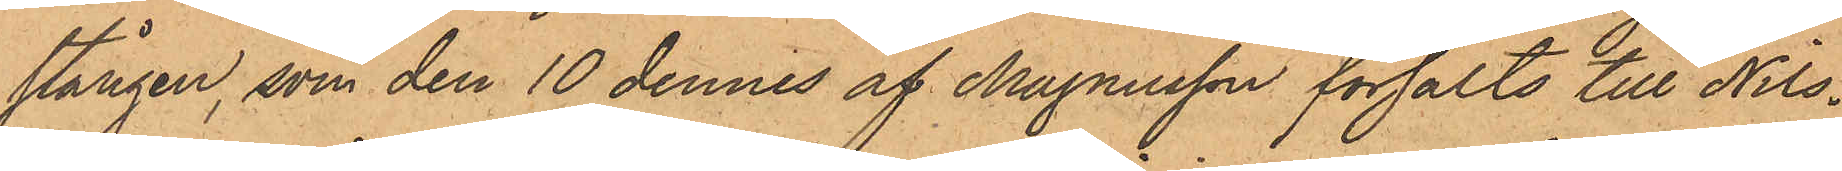stången, som den 10 dennes af Magnusson försålts till Nils¬
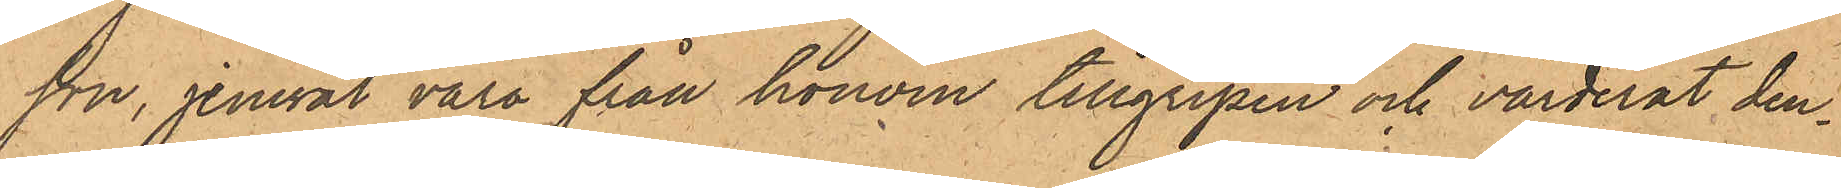son, jemväl vara från honom tillgripen och värderat den¬
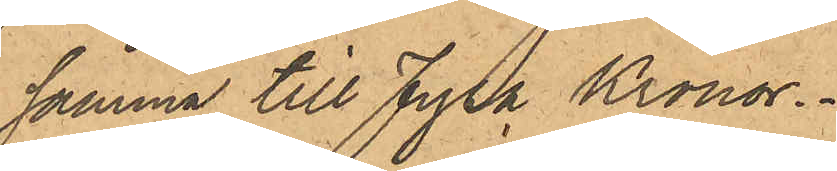samma till Fyra Kronor.
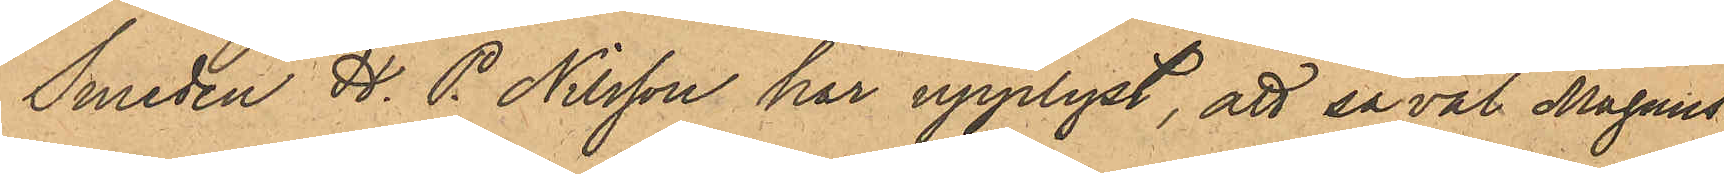Smeden H. P. Nilsson har upplyst, att såväl Magnus¬
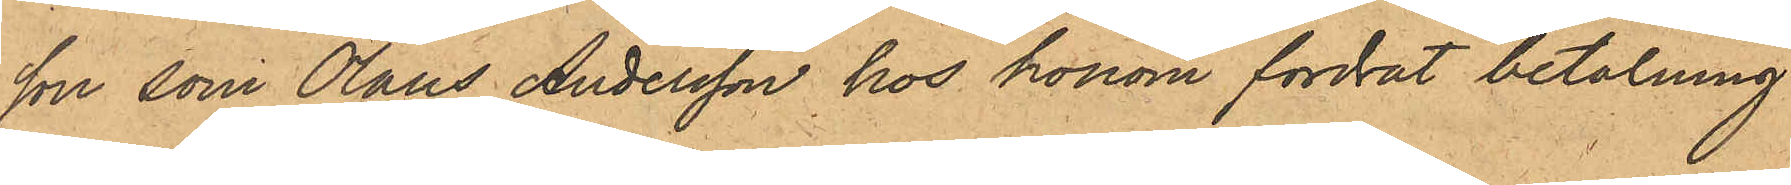son som Olaus Andersson hos honom fordrat betalning
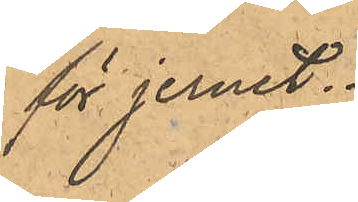för jernet.
